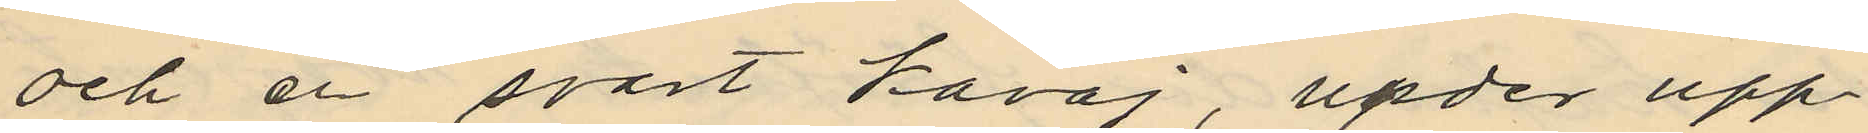och en svart kavaj, under upp¬
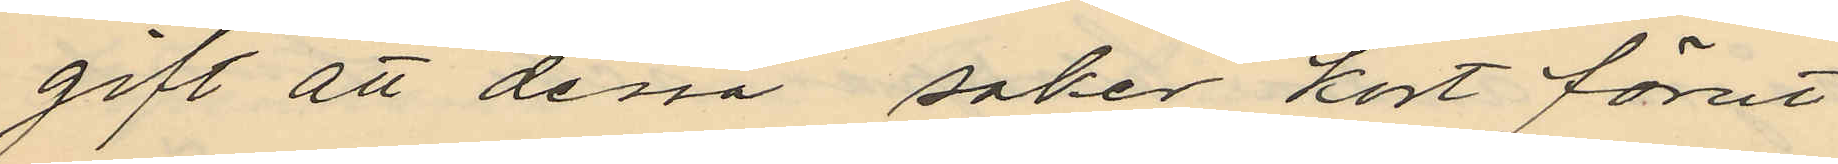gift att dessa saker kort förut
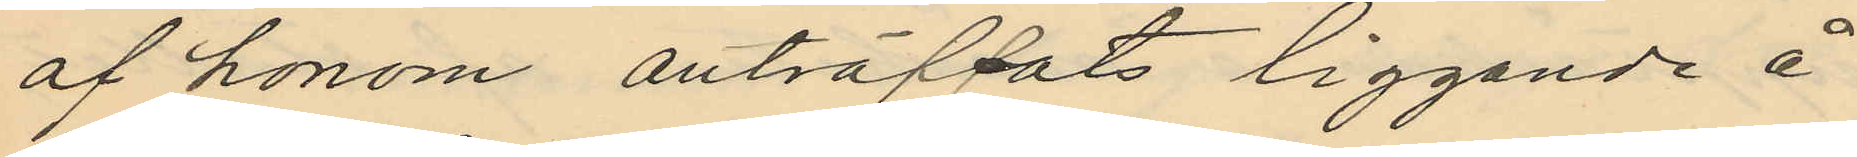af honom anträffats liggande å
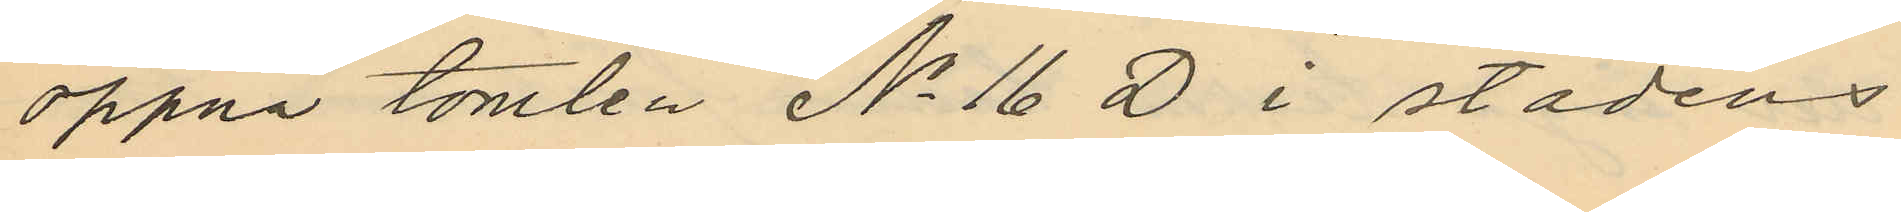öppna tomten No 16 D i stadens
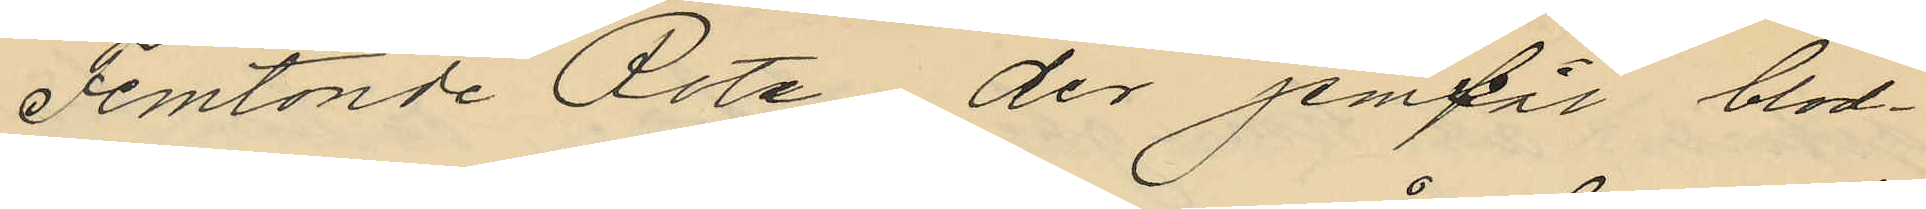Femtonde Rote der jemväl blod¬
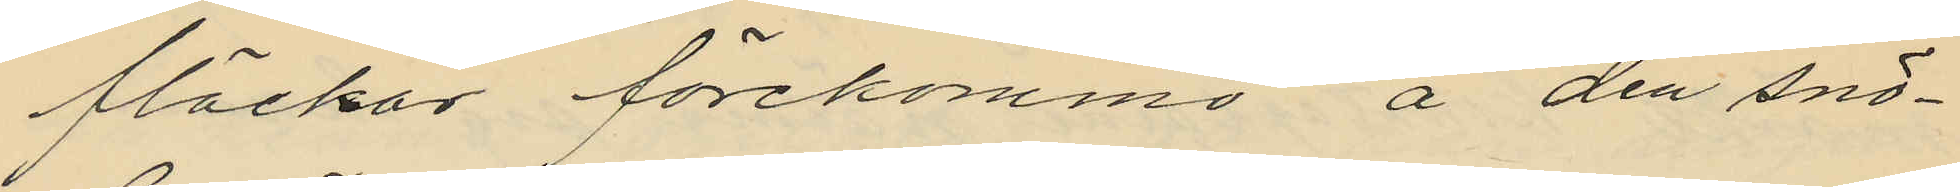fläckar förekommo å den snö¬
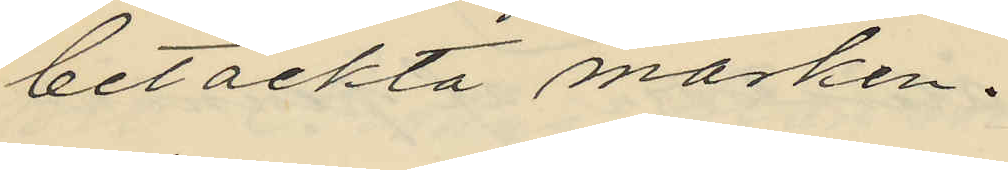betäckta marken.
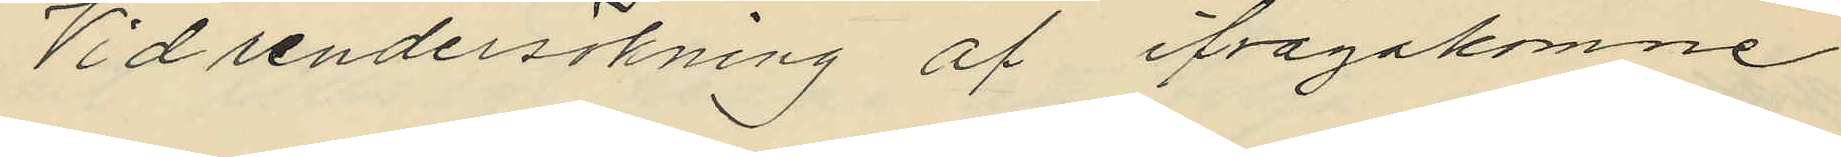Vid undersökning af ifrågakomne
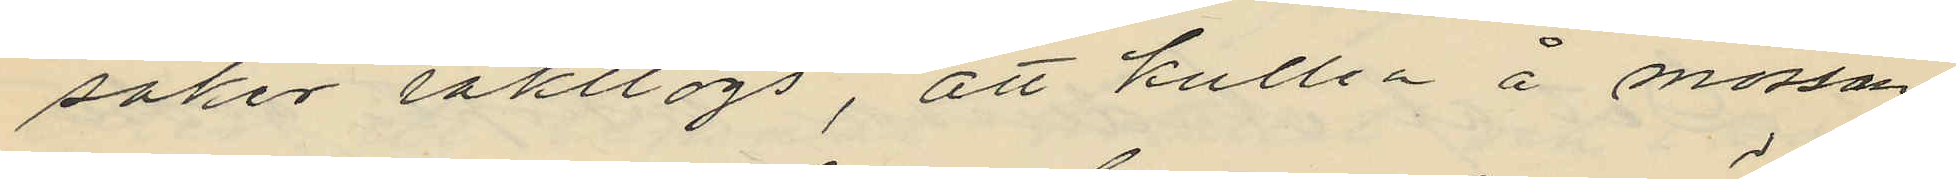saker iakttogs, att kullen å mossan
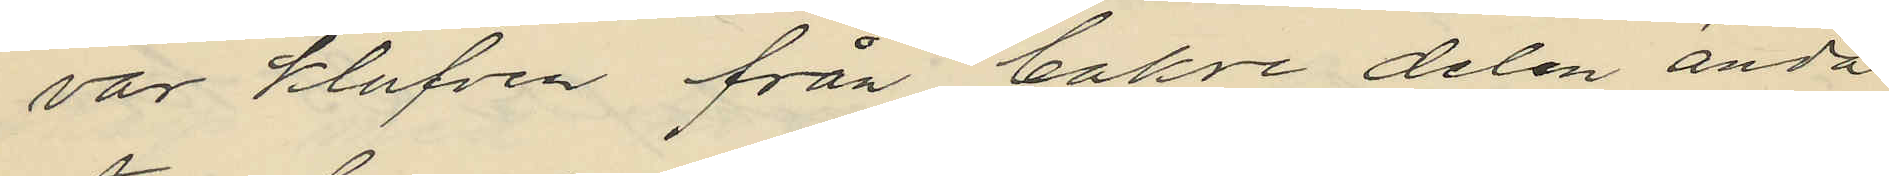var klufven från bakre delen ända
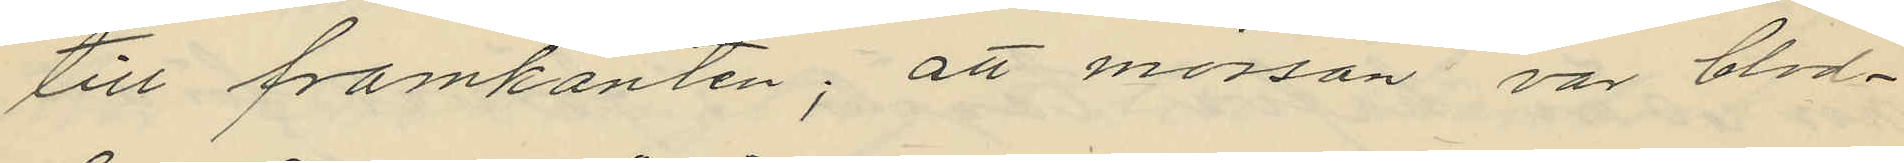till framkanten; att mössan var blod¬
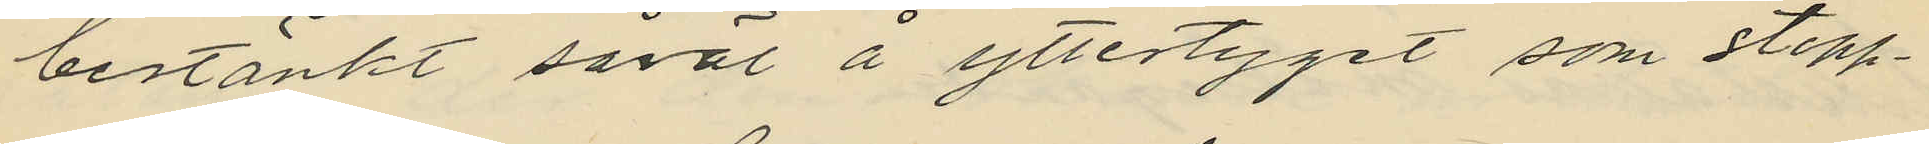bestänkt såväl å yttertyget som stopp¬
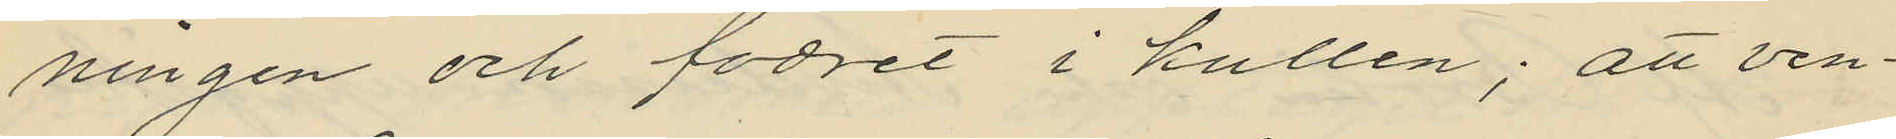ningen och fodret i kullen; att ven¬
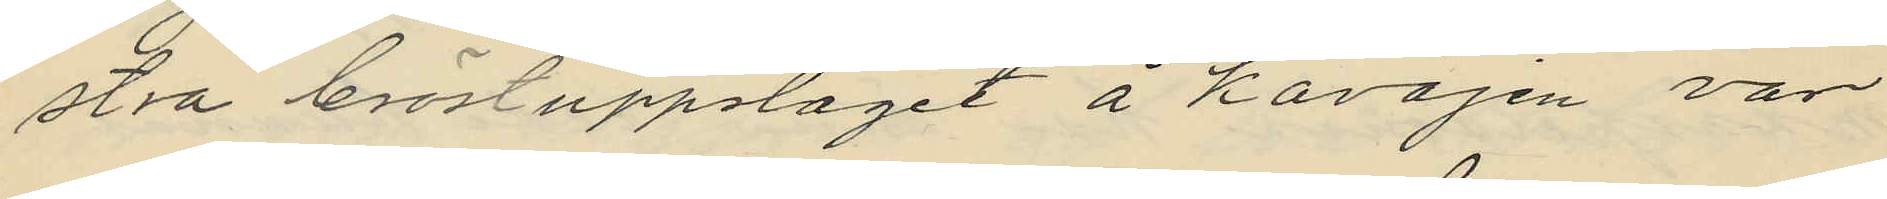stra bröstuppslagit å kavajen var
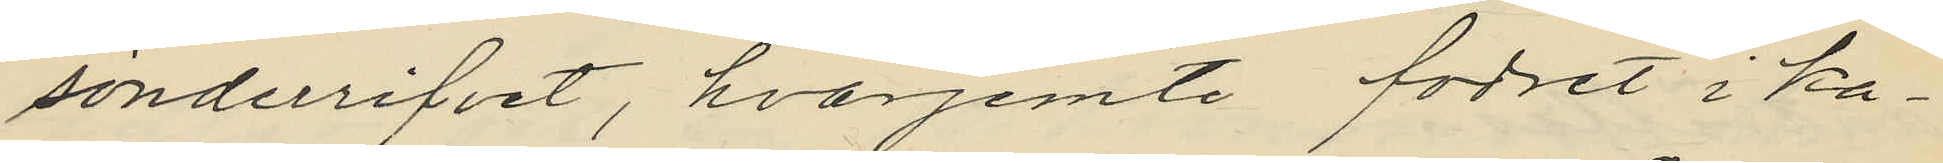sönderrifvet, hvarjemte fodret i ka¬
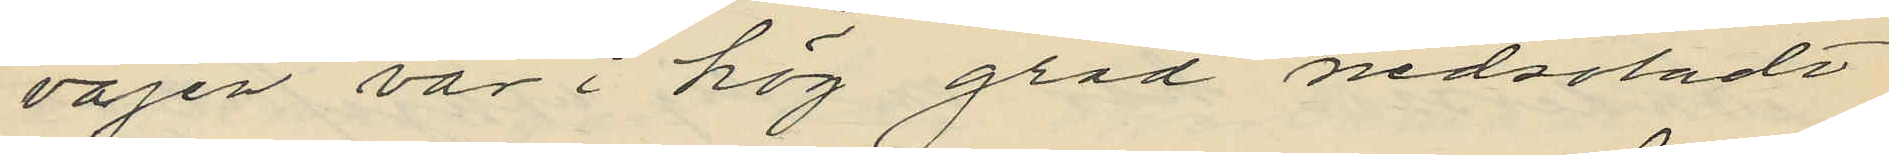vajen var i hög grad nedsöladt
